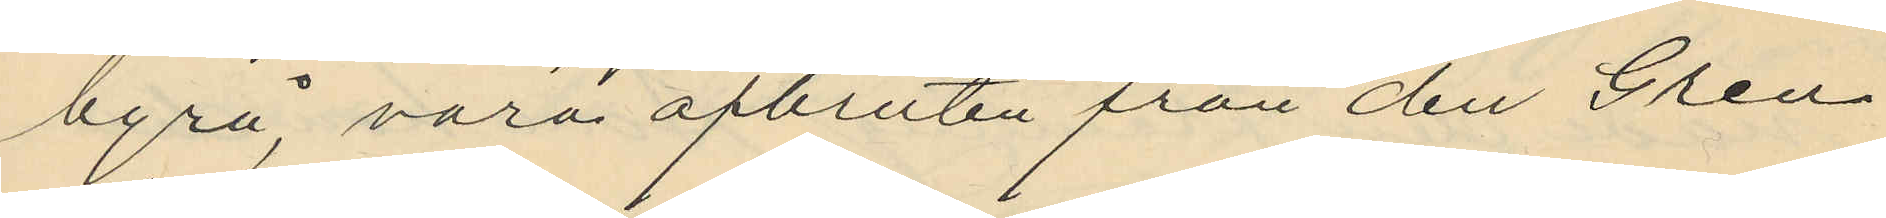byrå, vara afbruten från den Gren
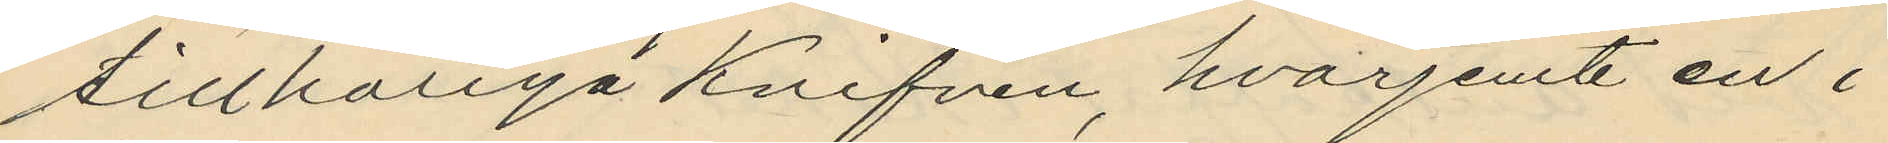tillhöriga knifven, hvarjemte en i
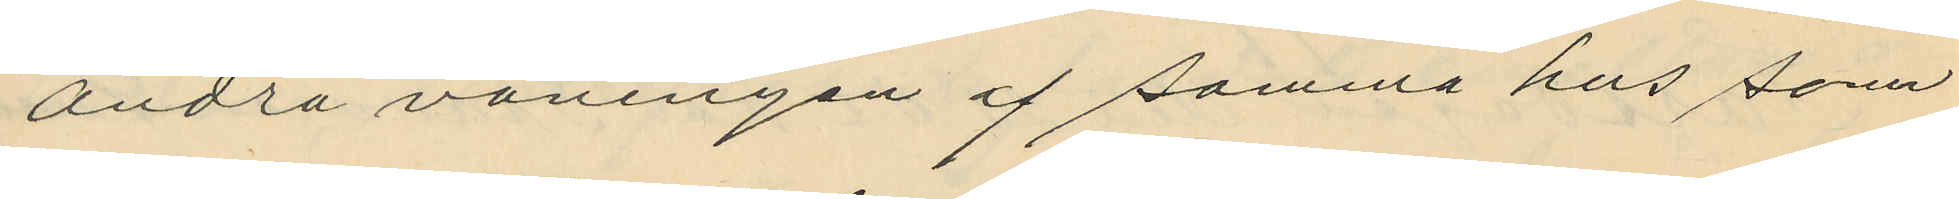andra våningen af samma hus som
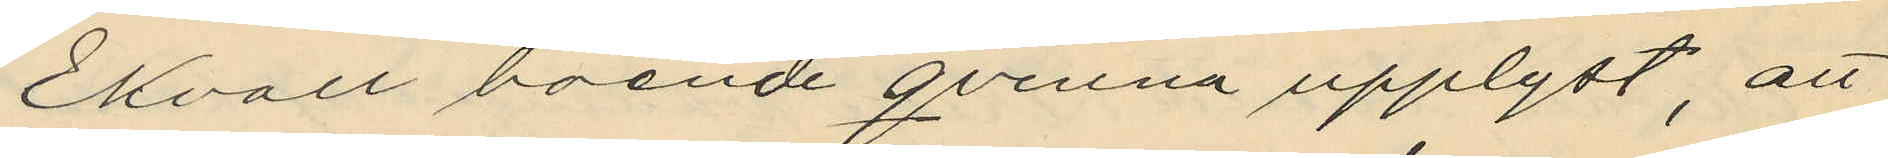Ekvall boende qvinna upplyst, att
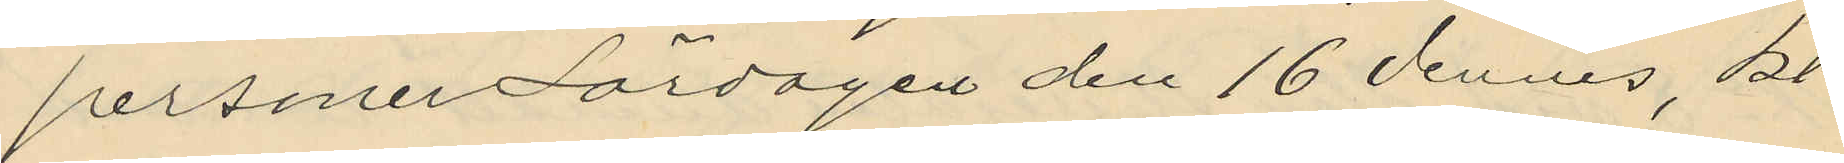personer Lördagen den 16 dennes, kl.
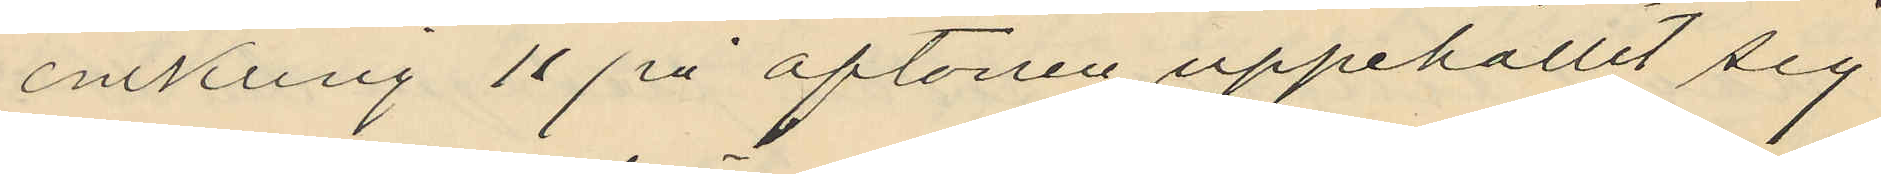omkring 11 på aftonen uppehållit sig
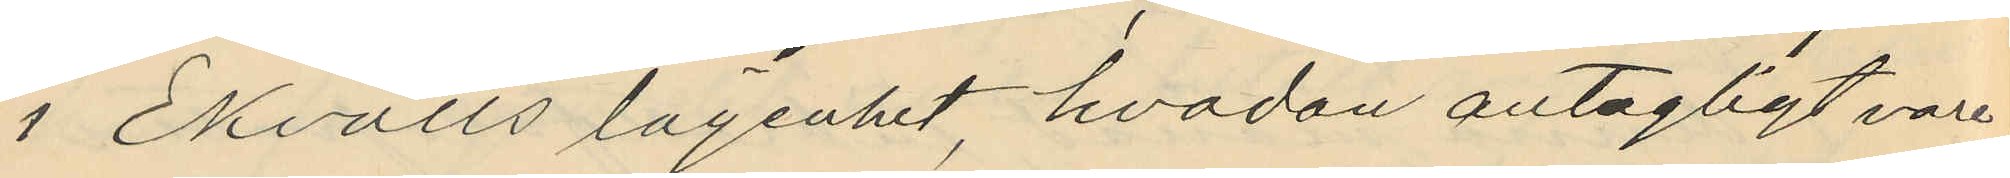i Ekvalls lägenhet, hvadan antagligt vore
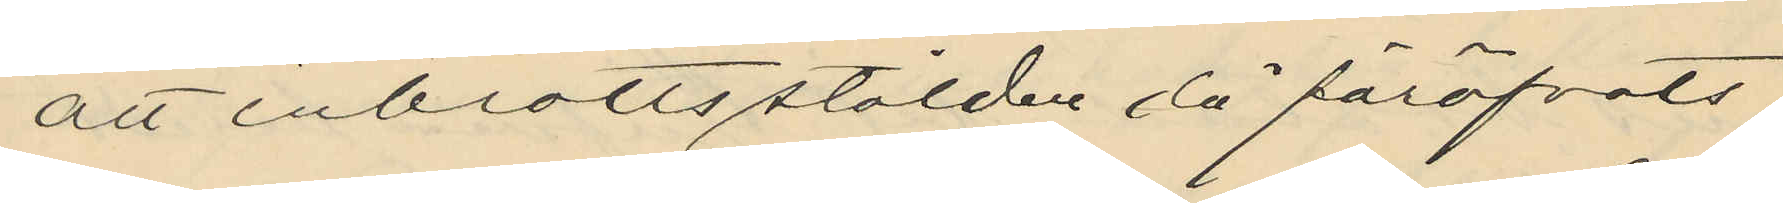att inbrottsstölden då föröfvats
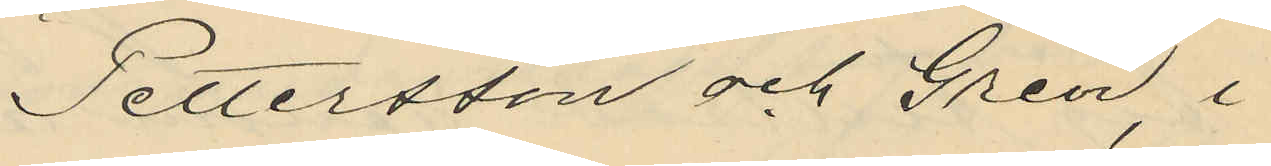Pettersson och Gren, i
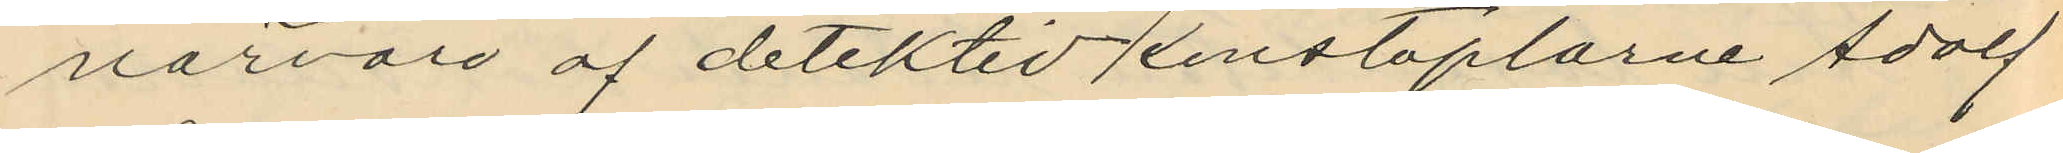närvaro af detektivkonstaplarne Adolf
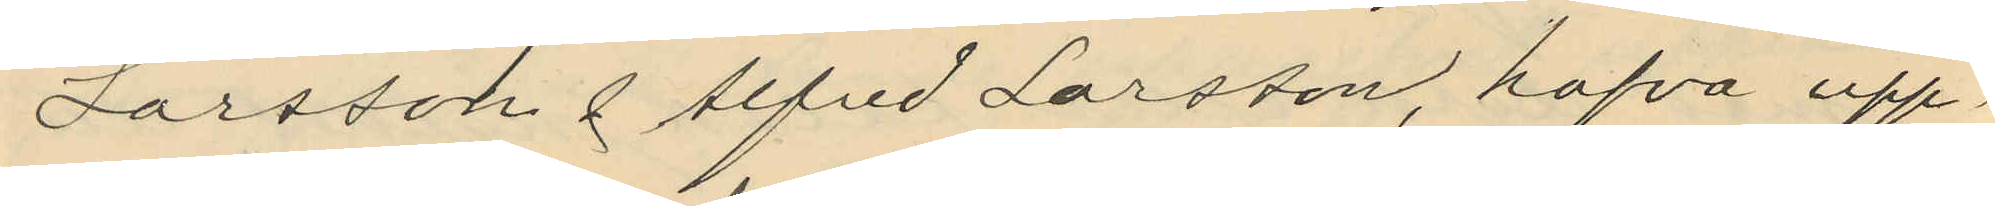Larsson & Alfred Larsson, hafva upp¬
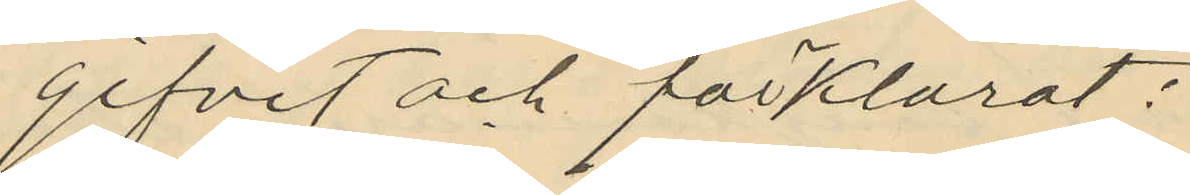gifvit och förklarat:
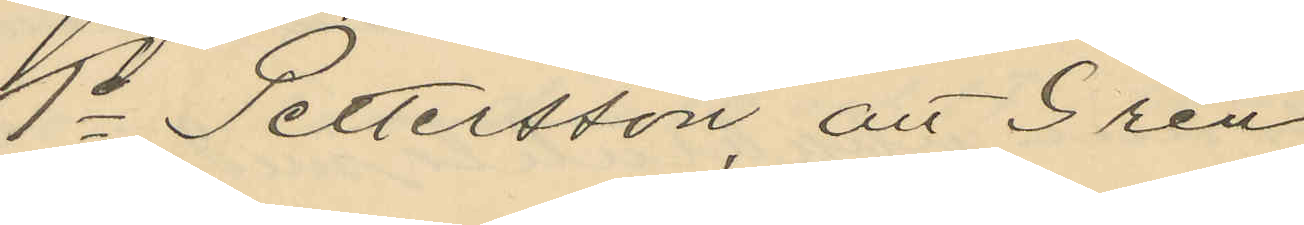1o Pettersson, att Gren
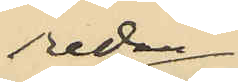redan
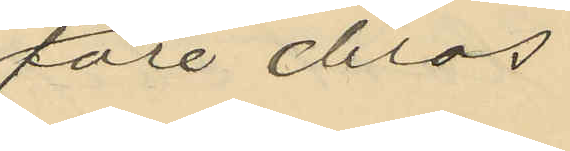före deras
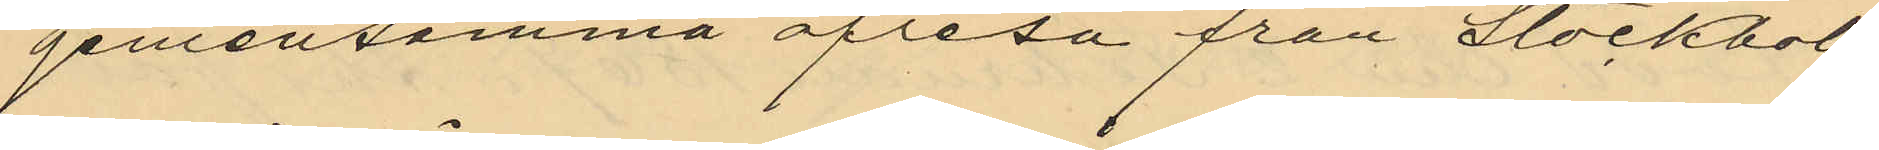gemensamma afresa från Stockholm
